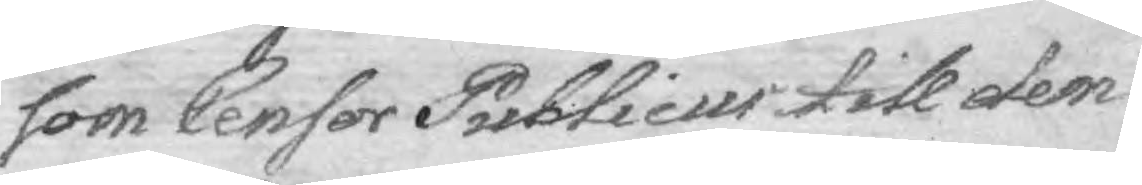som Censor Publicus till dem
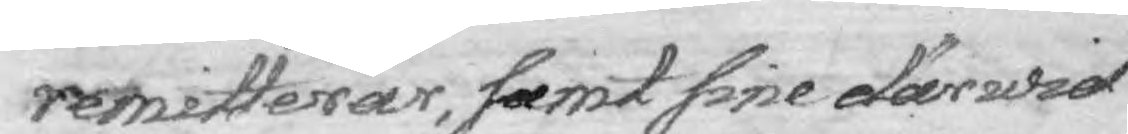remitterar, samt sine därwid
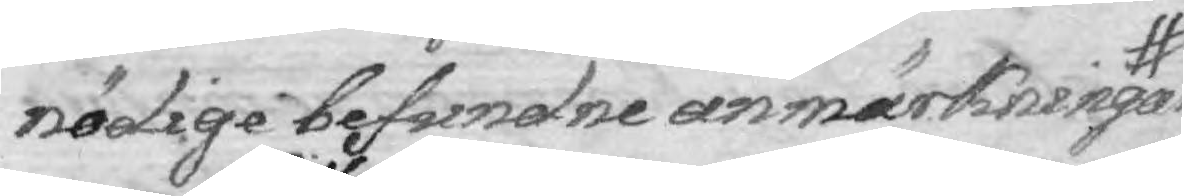nödige befundne anmärkningar
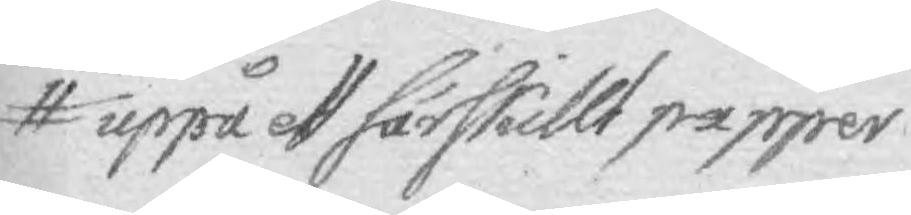uppå ett särskillt papper
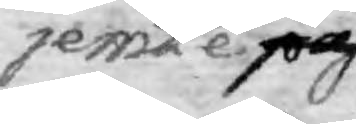jemte på
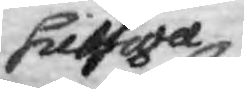sielfwa
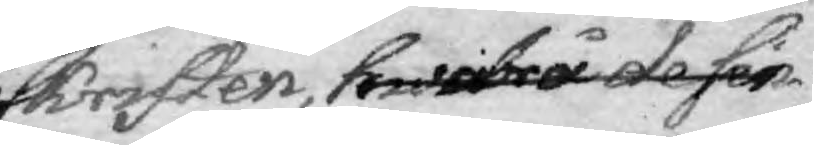skriften, hwarå de sin
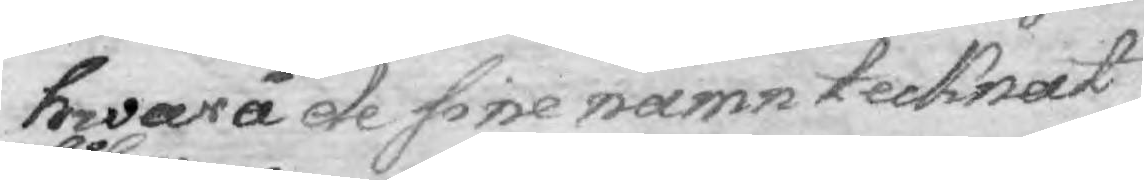hwarå de fine namn tecknat
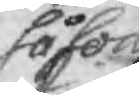såsom
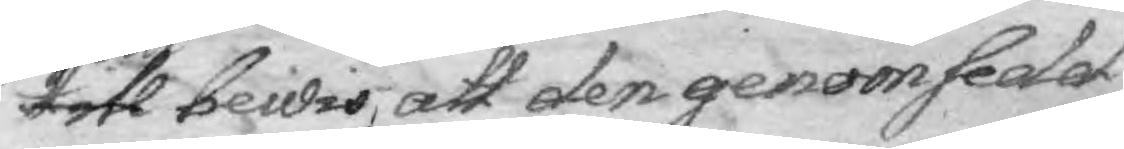till bewis, att den genomsedet
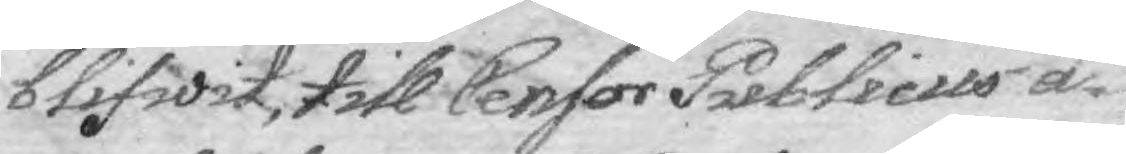blifwit, till Censor Publicuus å¬
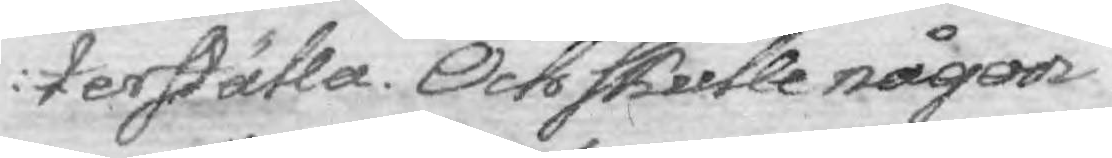terställa. Och skulle någor
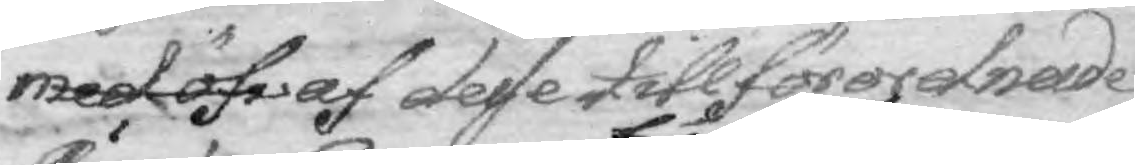med öfw af desse till förordnade
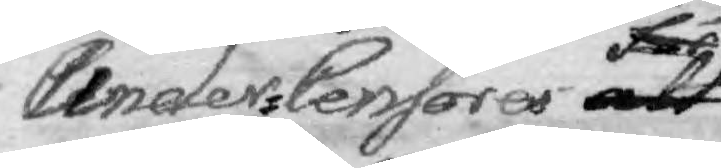Under-Censores att får
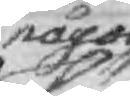något
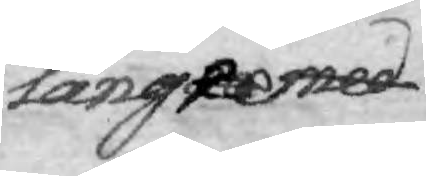längre med
